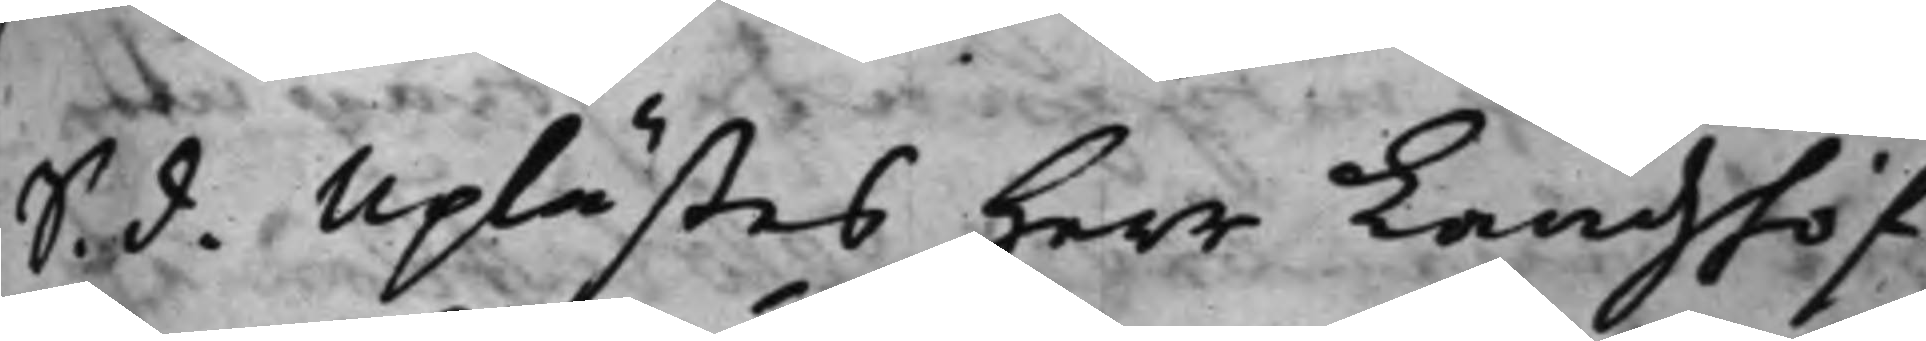S. d. Uplästes Herr Landshöf¬
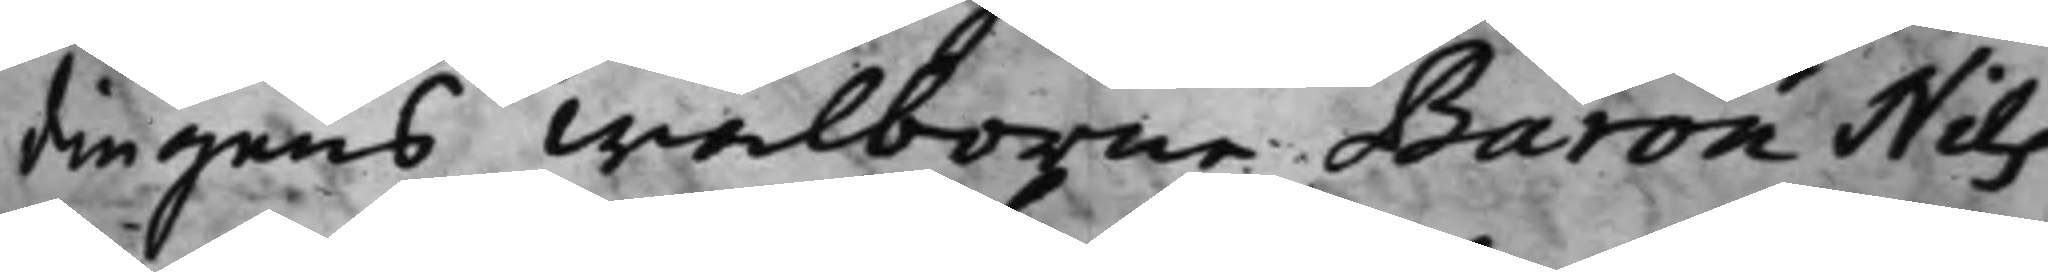dingens Wälborne Baron Nils
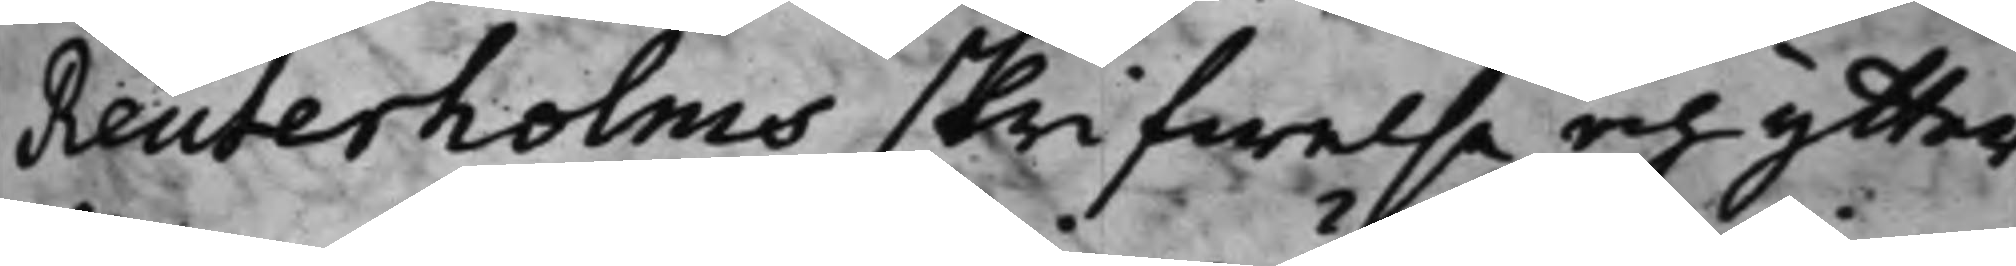Reuterholms skrifwelse och ytter¬
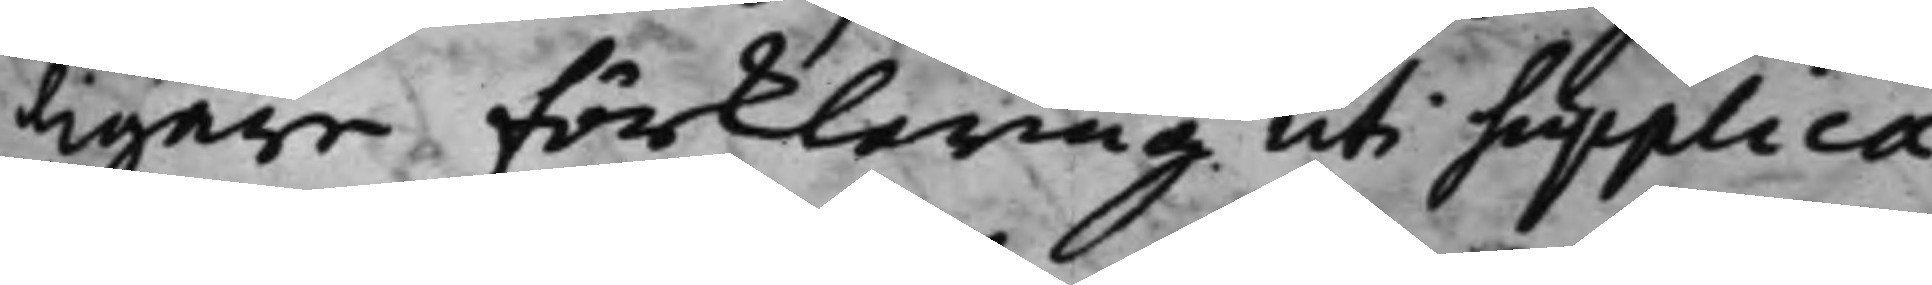ligare förklaring uti Supplica¬
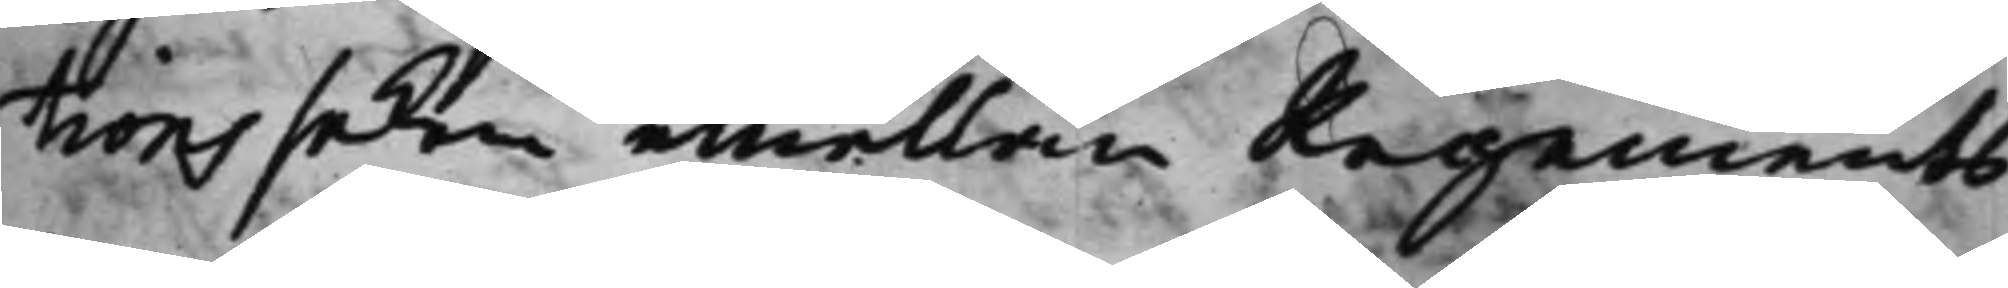tions saken emellan Regements
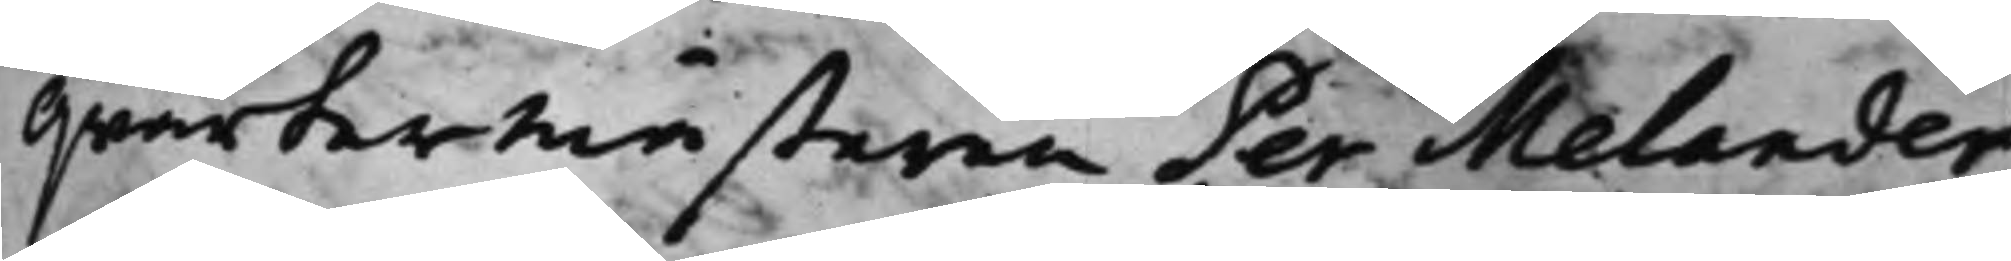Qwartermästaren Per Melander
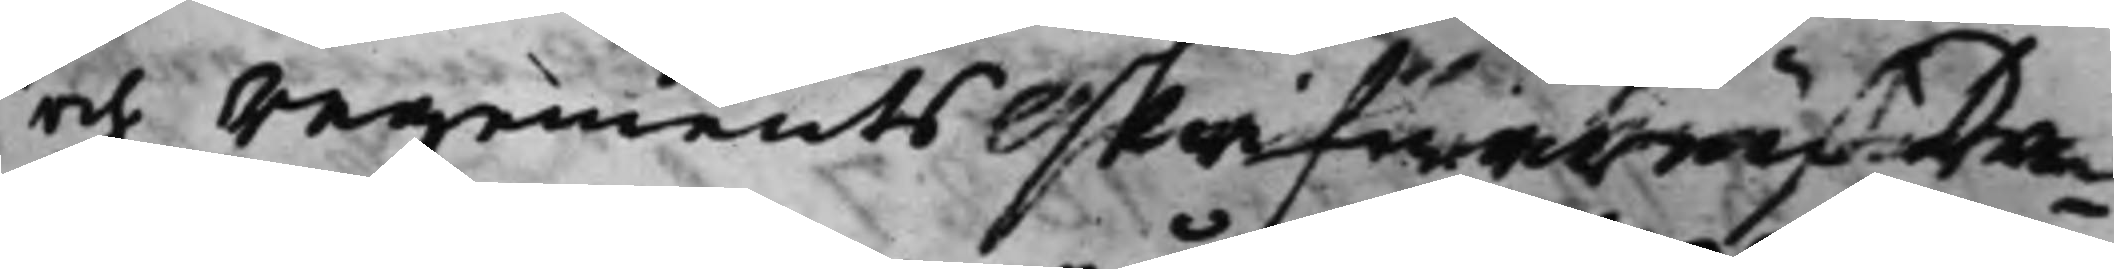och Regements skrifwaren Da¬
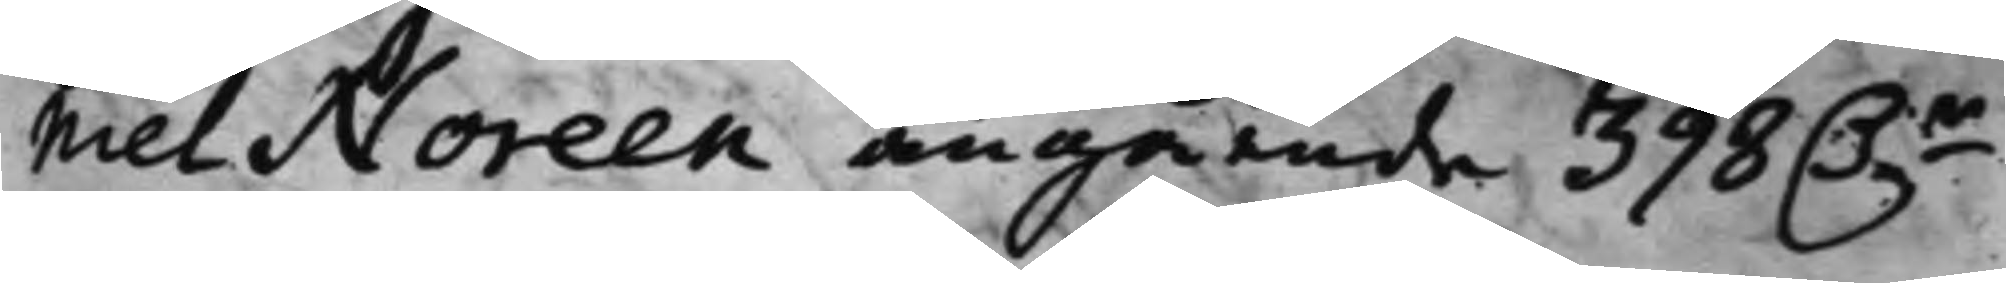niel Noreen angående 398 D.r
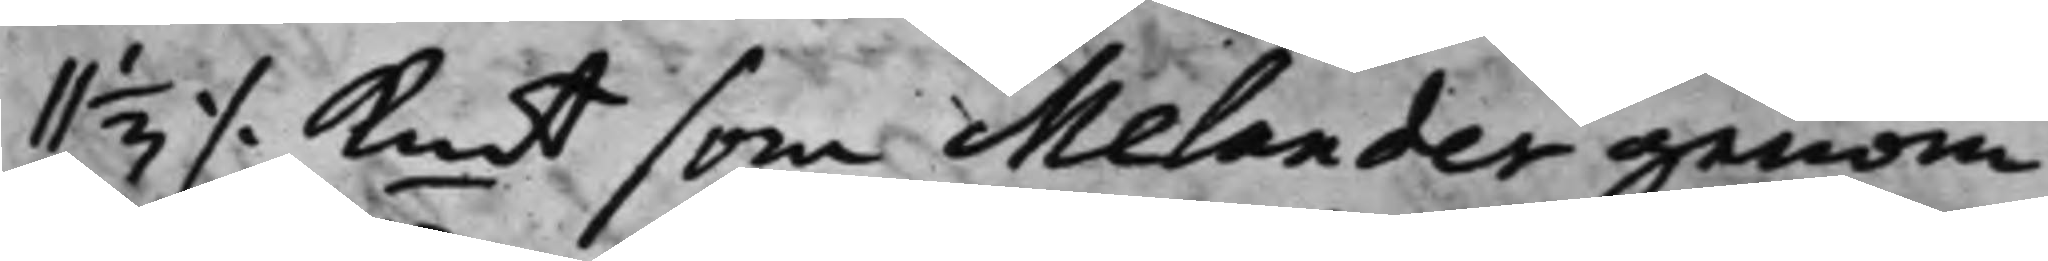11 1/3 ./. Kmt som Melander genom
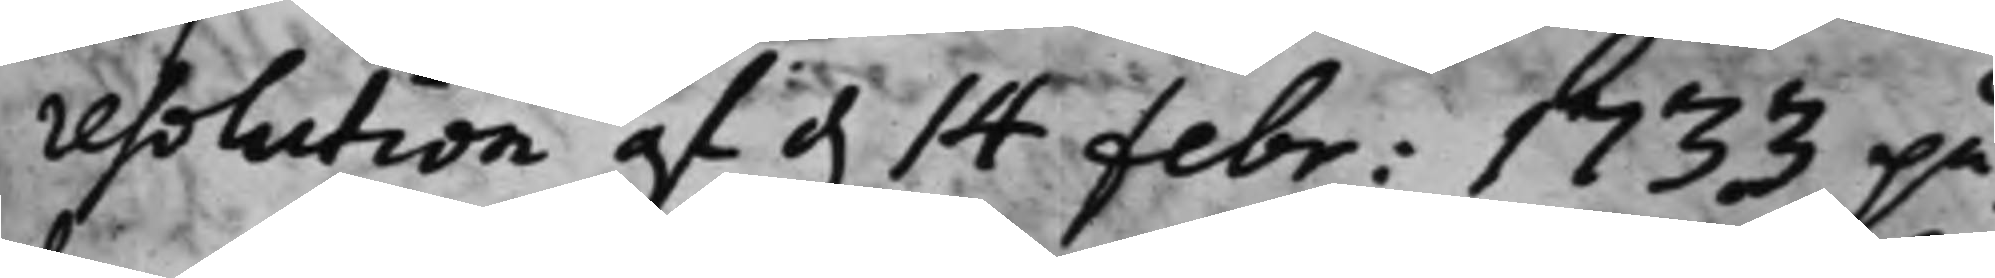resolution af d. 14 febr: 1733 på¬
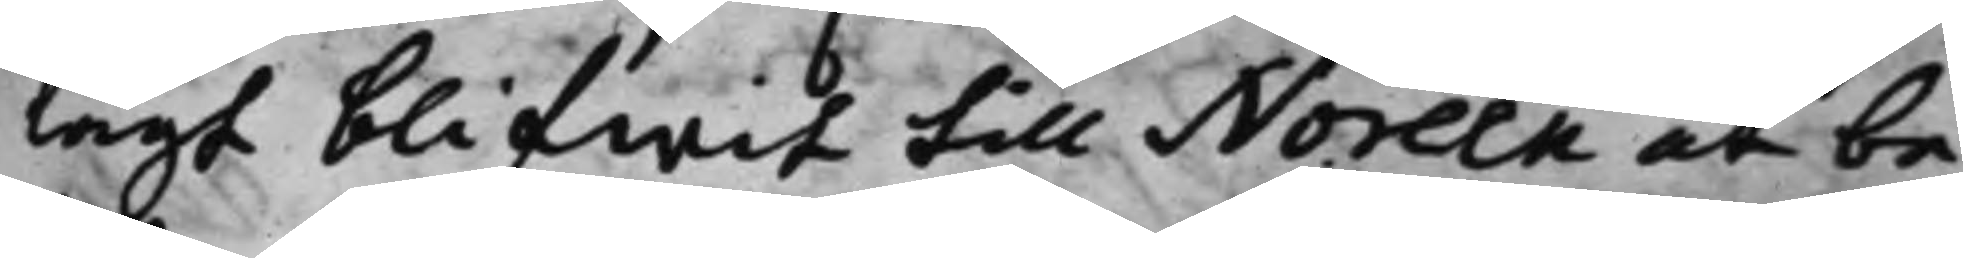lagt blifwit till Noreen at be¬
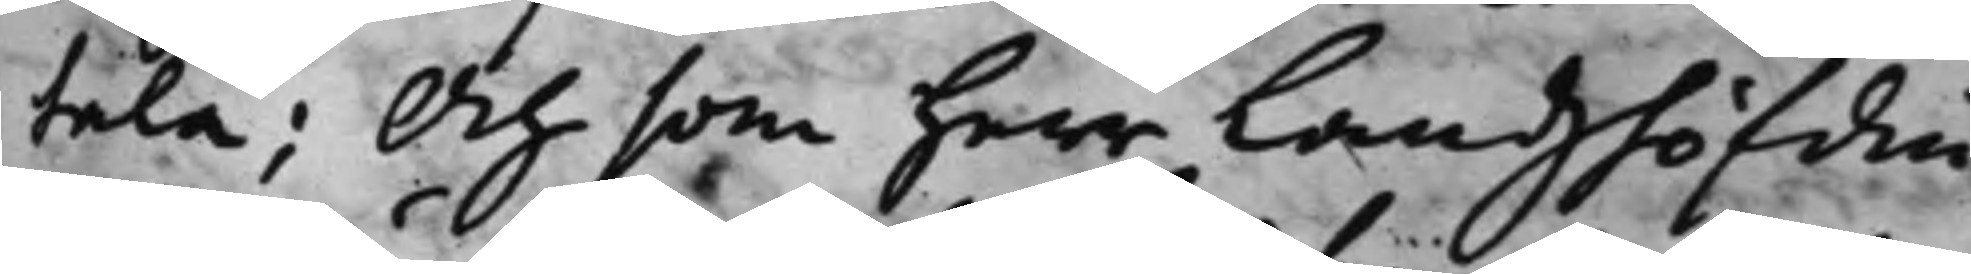tala; Och som herr Landshöfdin¬
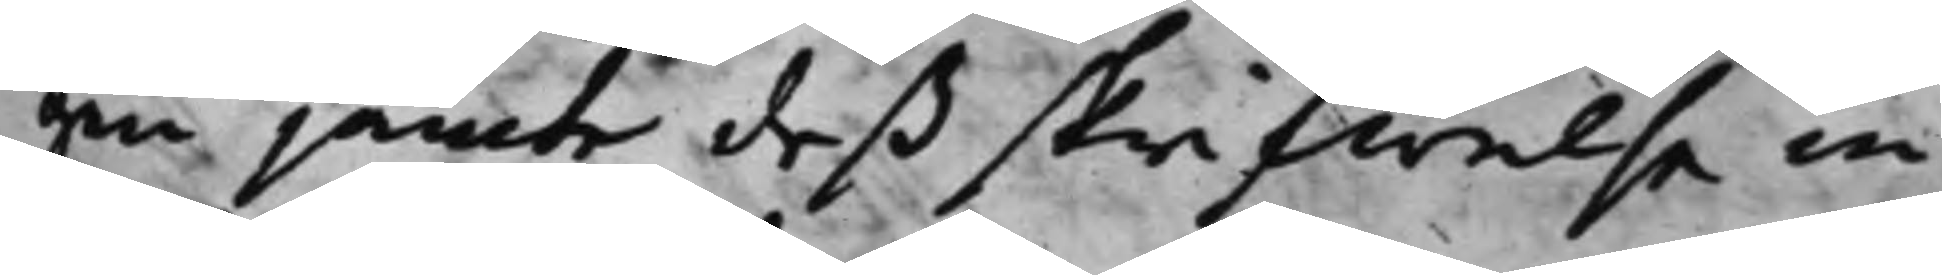gen jämte deß skrifwelse in¬
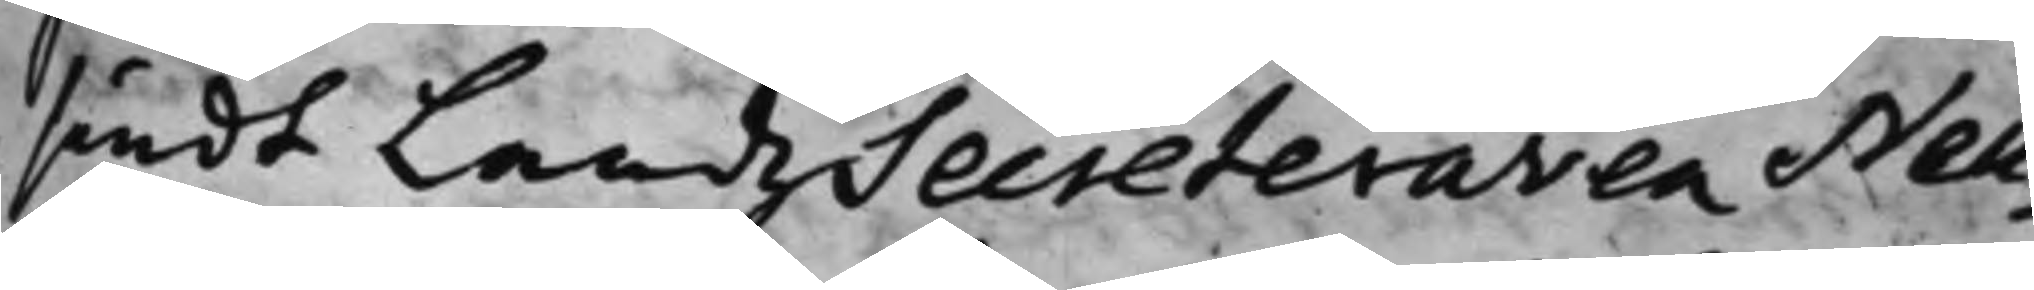sändt LandzSecreteraren Neu¬
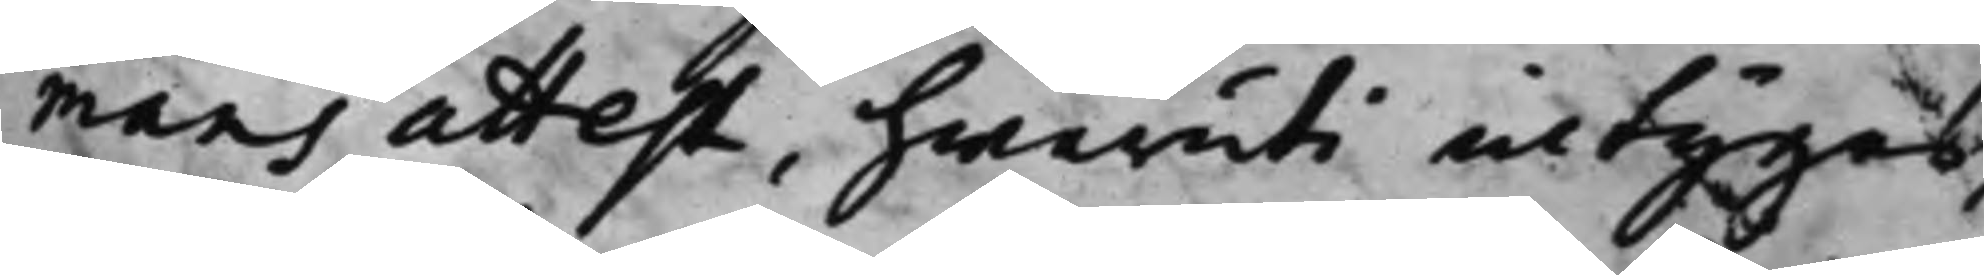mans attest, hwaruti intygas,
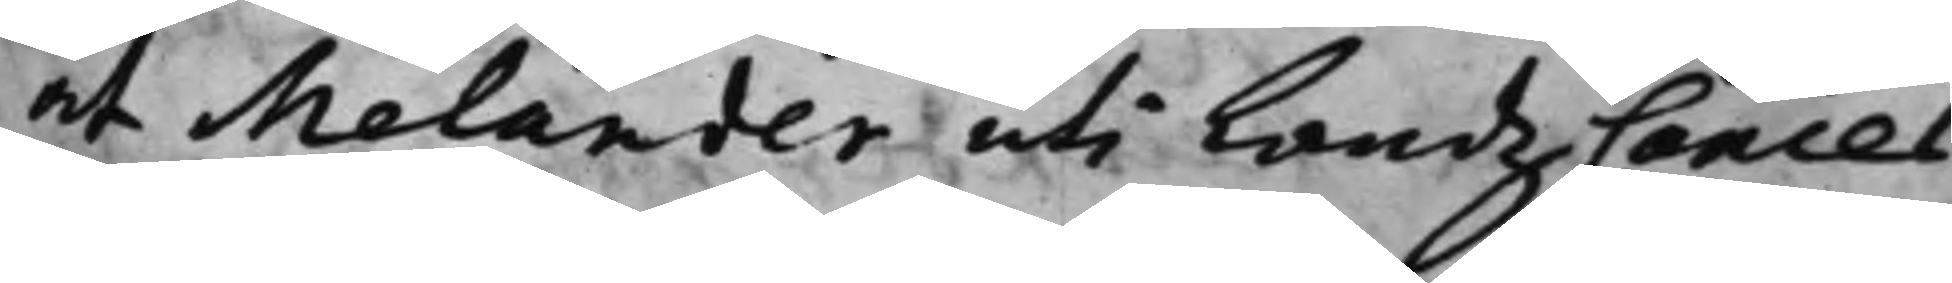at Melander uti LandzCancel¬
